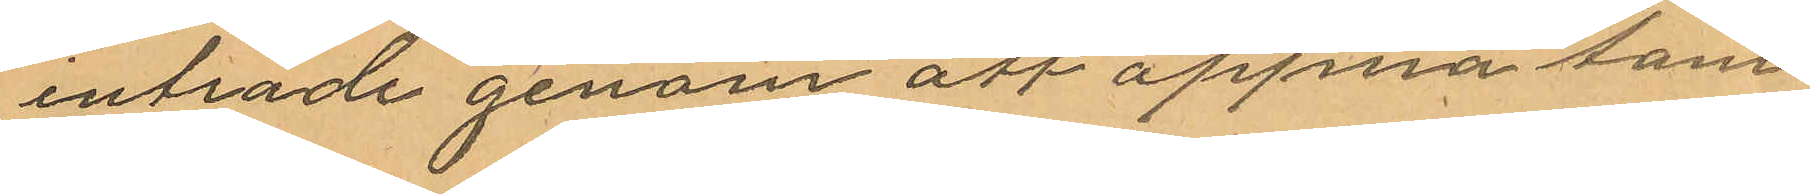inträde genom att öppna tam¬
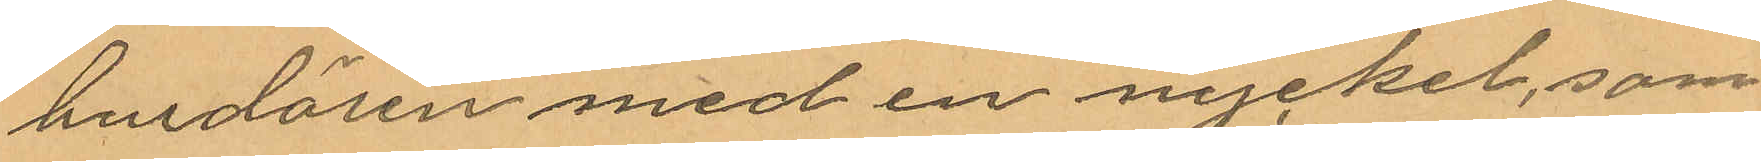burdörren med en nyckel, som
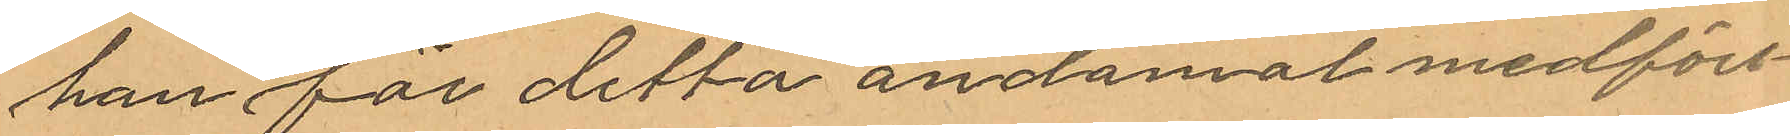han för detta ändåmål medfört
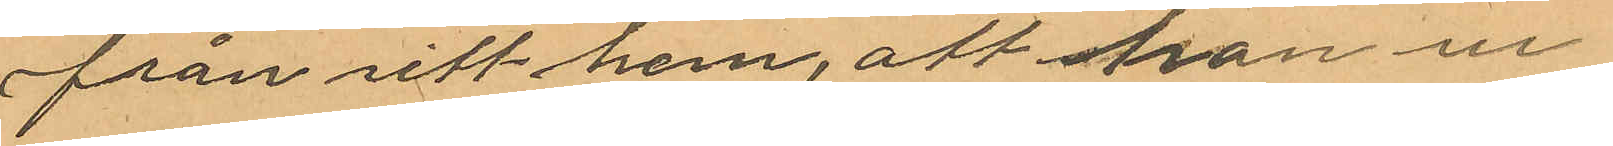från sitt hem, att han ur
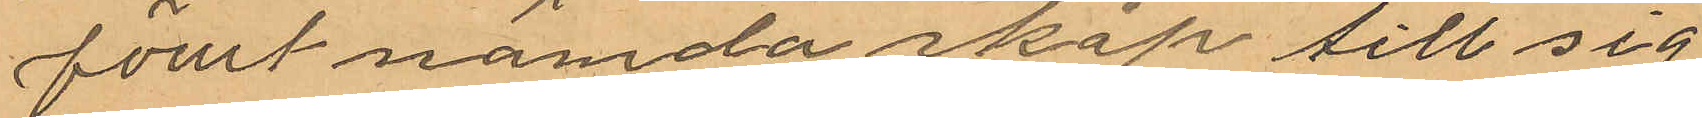förut nämda skåp till sig
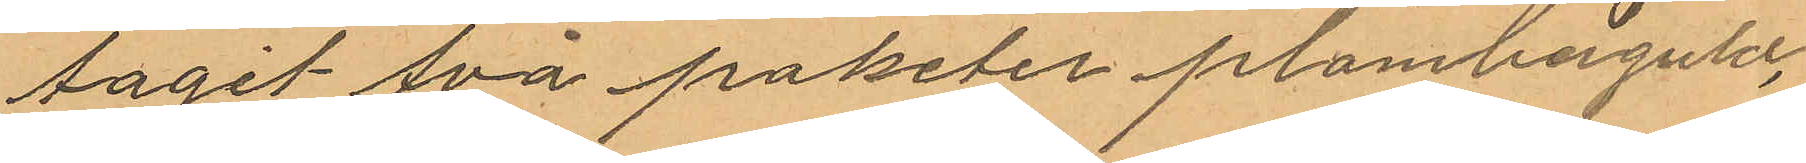tagit svå paketer plomberguld,
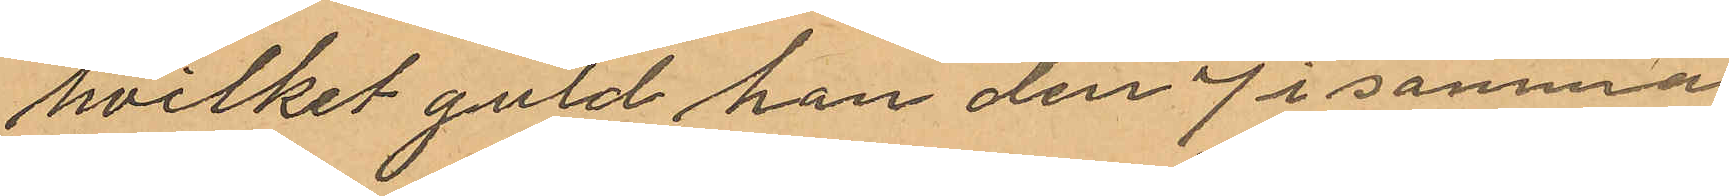hvilket guld han den 7 i samma
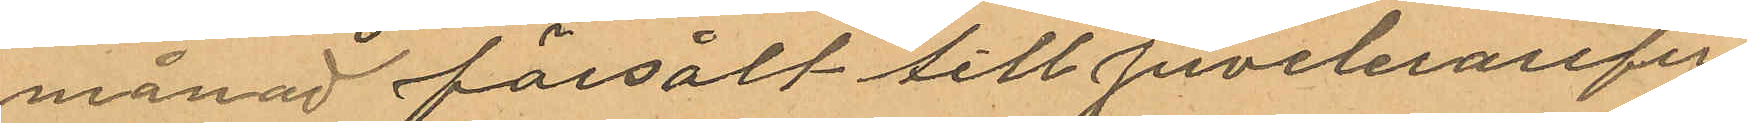månad försålt till juvelerarefir¬
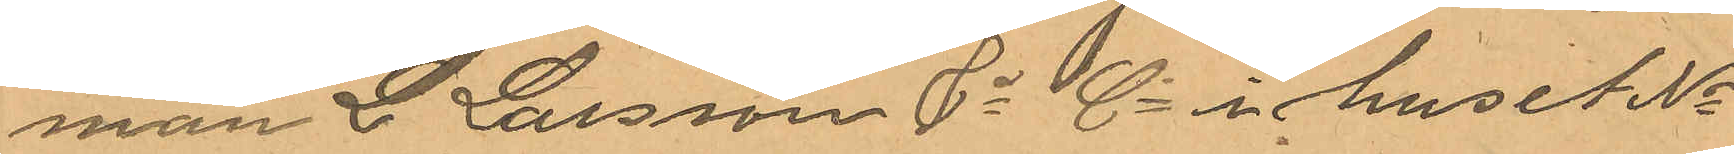man L. Larsson & Co i huset No
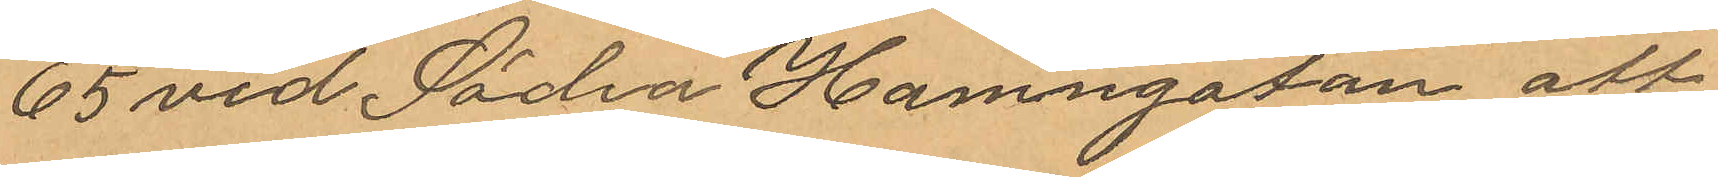65 vid Södra Hamngatan att
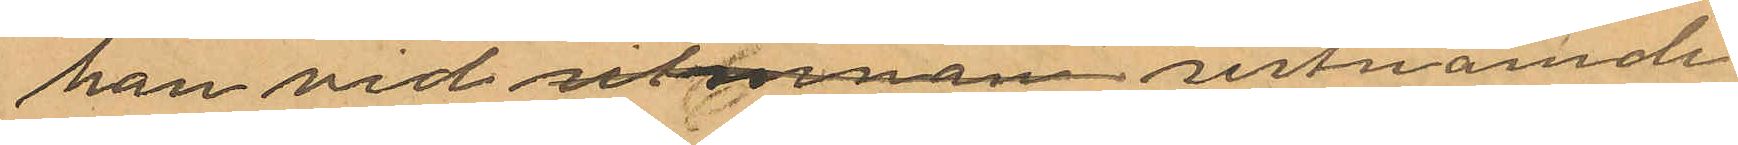han vid sistnämnde
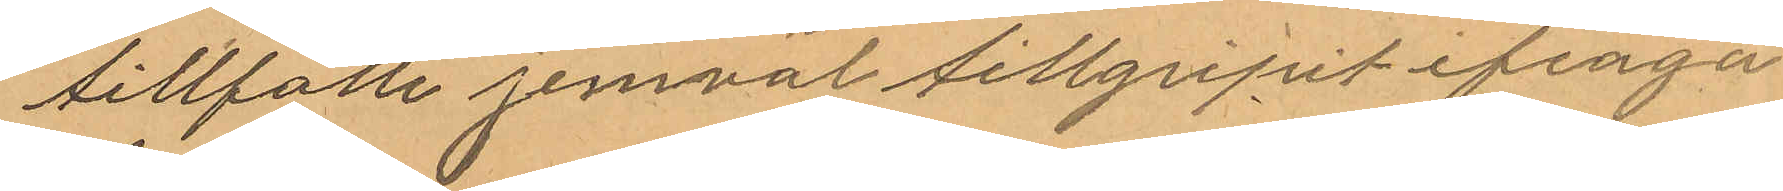tillfålle jemväl tillgripit ifråga¬
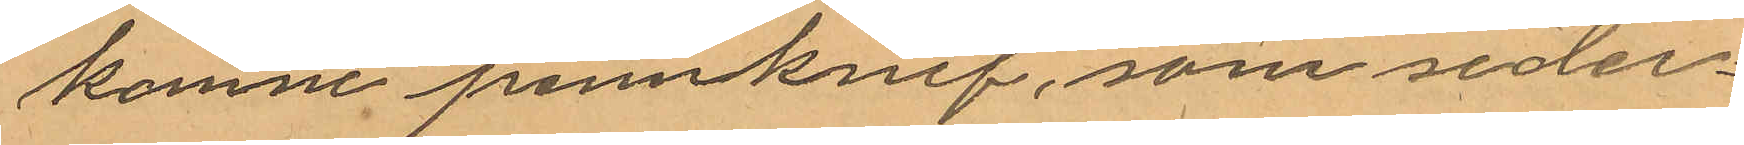komne pennknif, som seder¬
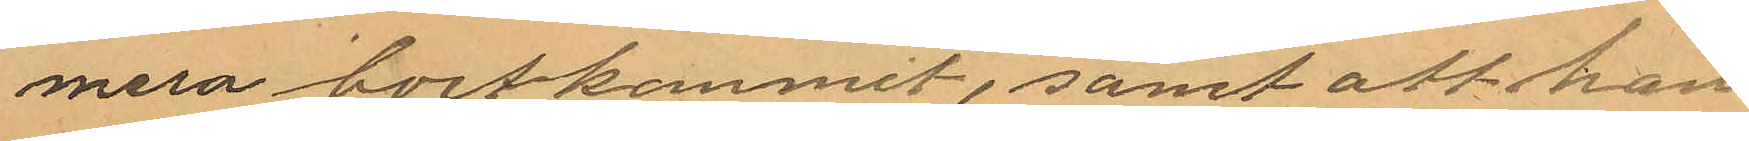mera bortkommit, samt att han
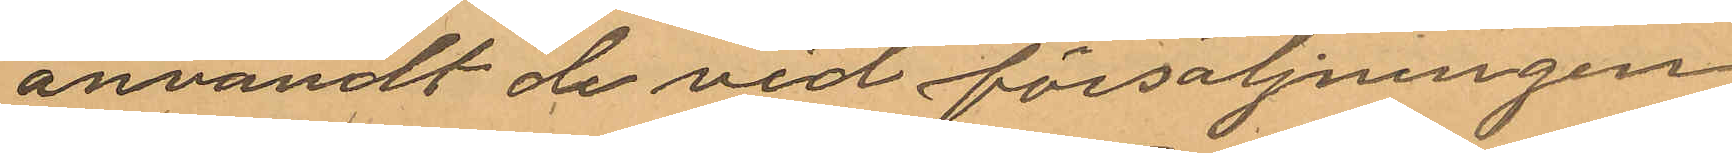användt de vid försäljningen
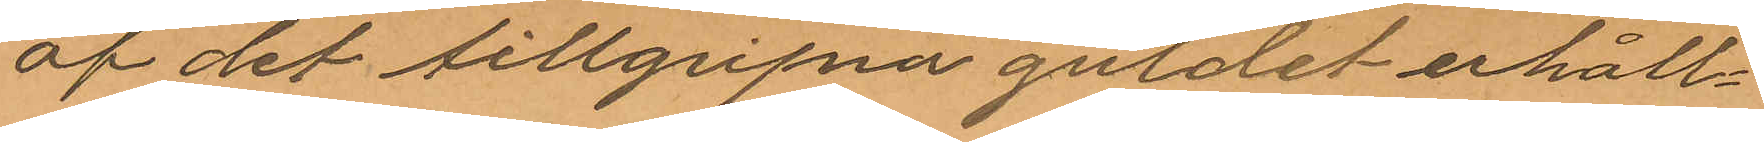af det tillgripna guldet erhåll¬
